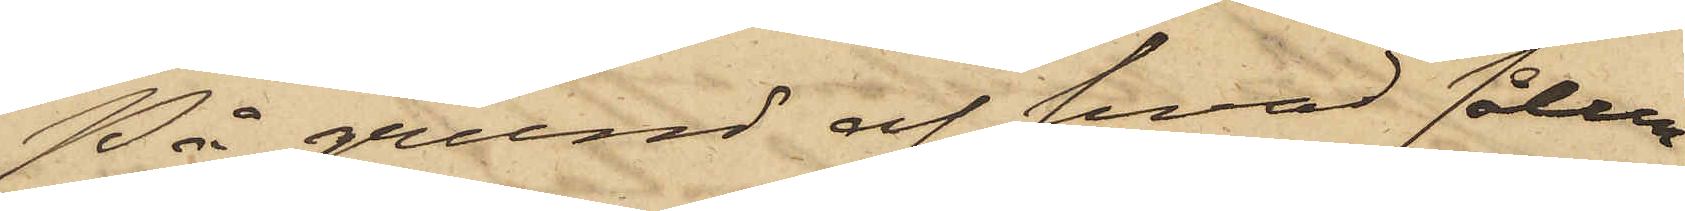På grund af hvad sålun¬
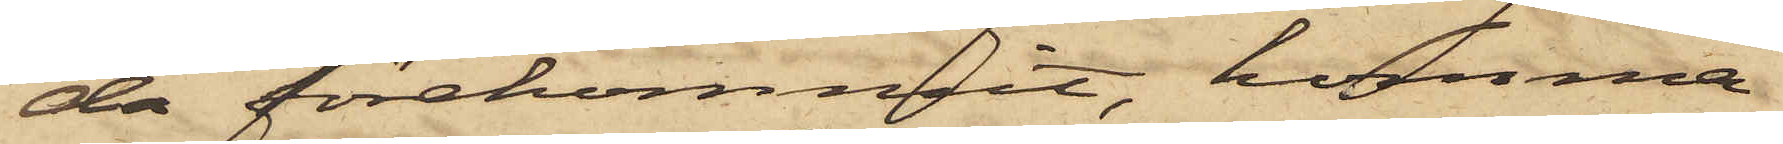da förekommit, komma
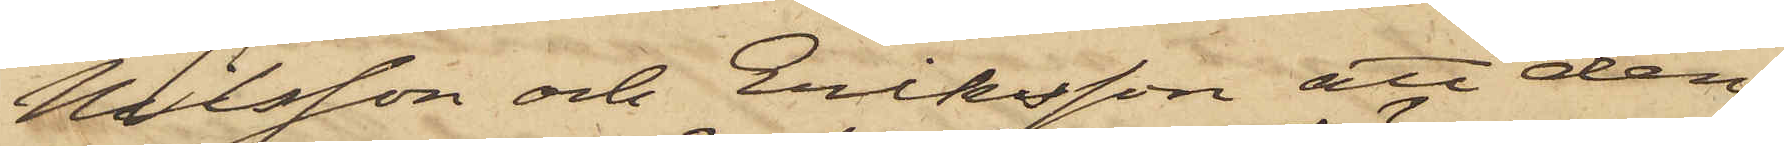Nilsson och Eriksson att den¬
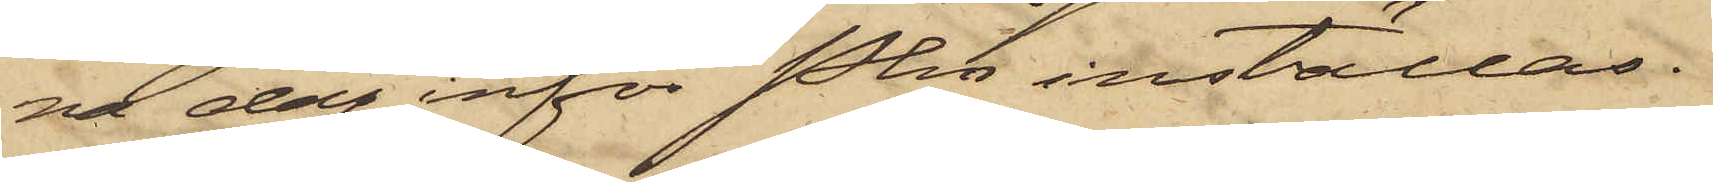na dag inför Pkn inställas.
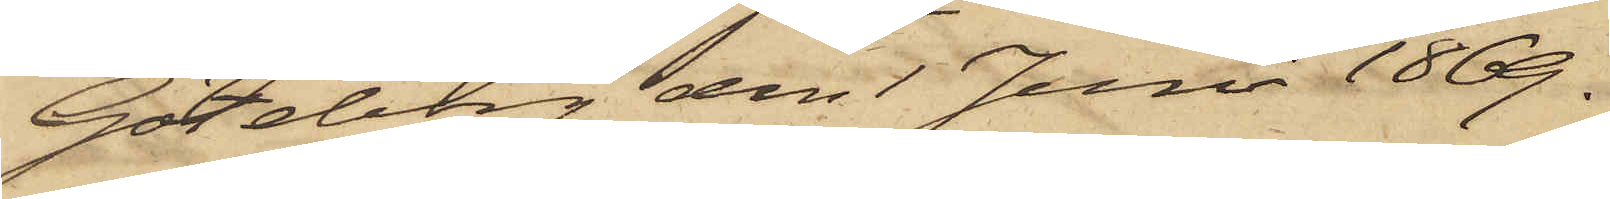Göteborg den 1 Juni 1869.
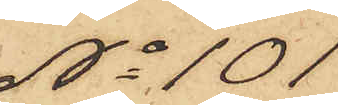No 101
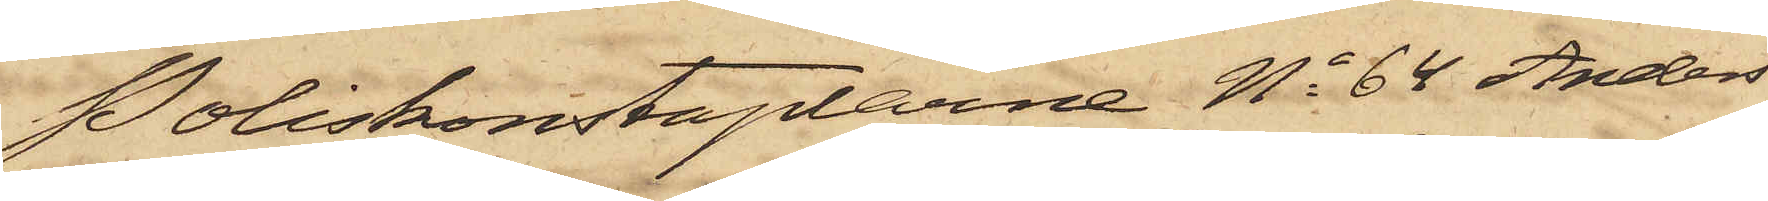Poliskonstaplarne No 64 Anders¬
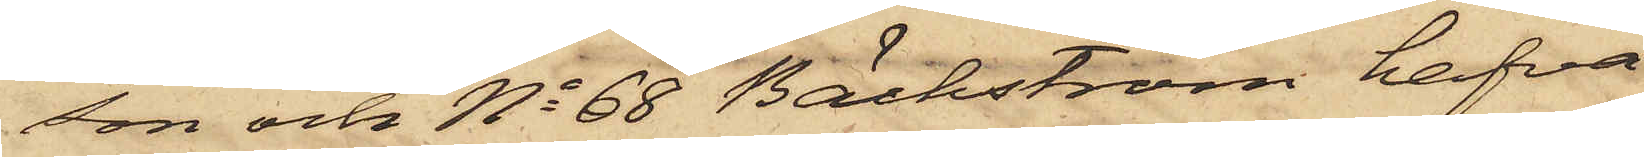son och No 68 Bäckström hafva
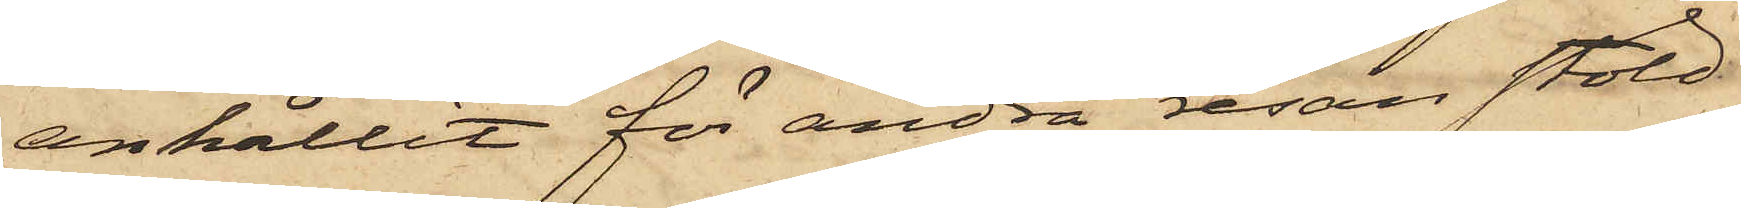anhållit för andra resan stöld
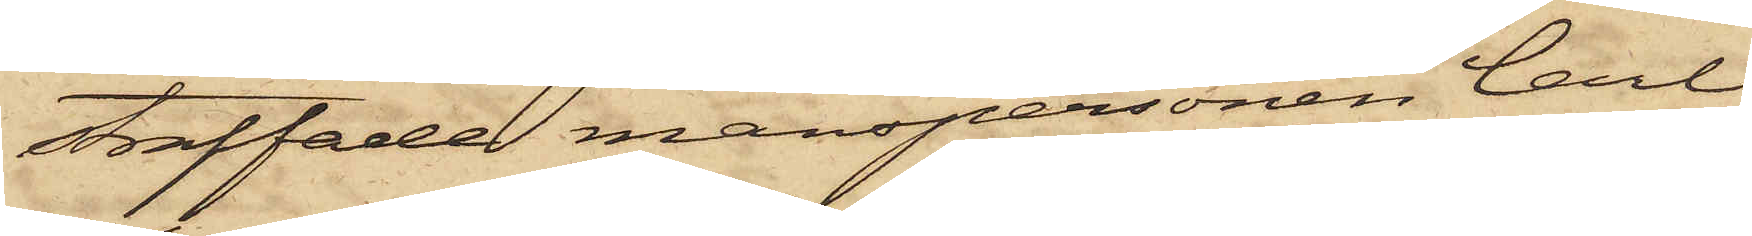straffade manspersonen Carl
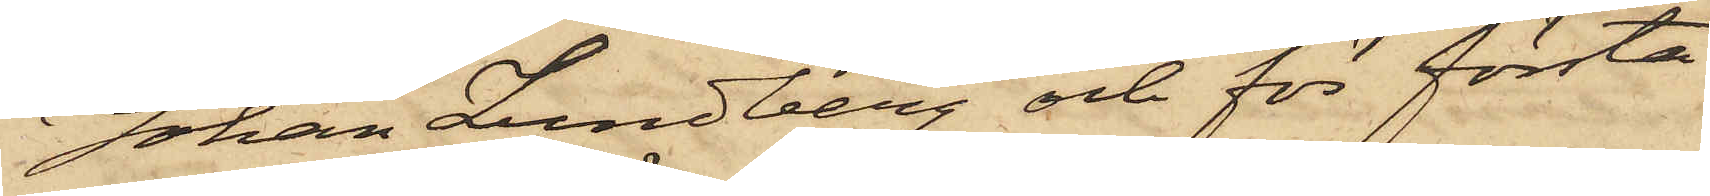Johan Lundberg och för första
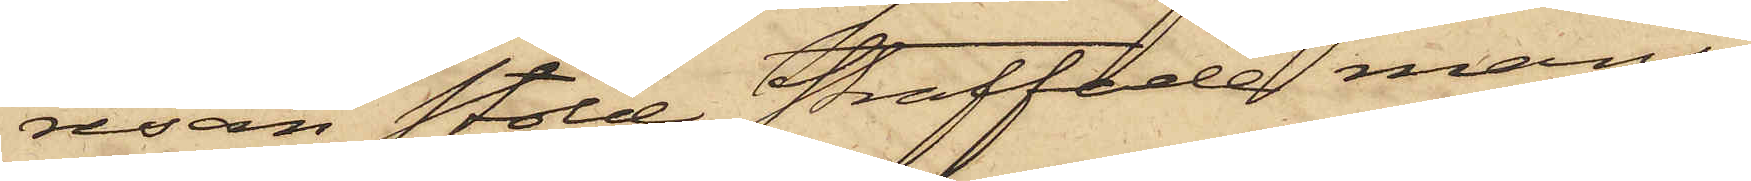resan stöld straffade mans¬
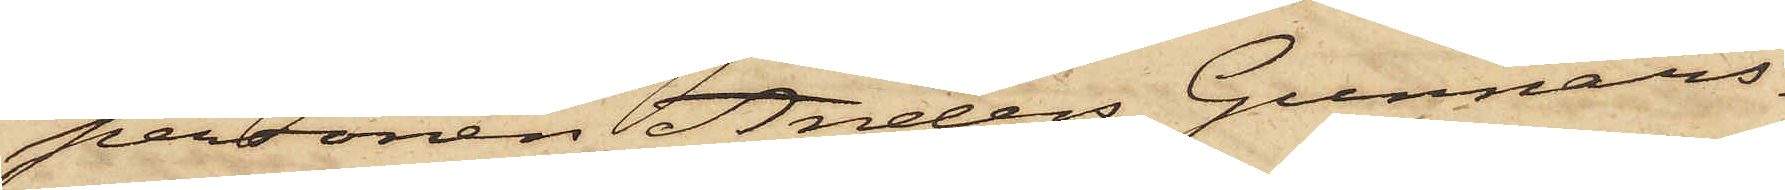personen Anders Gunnars¬
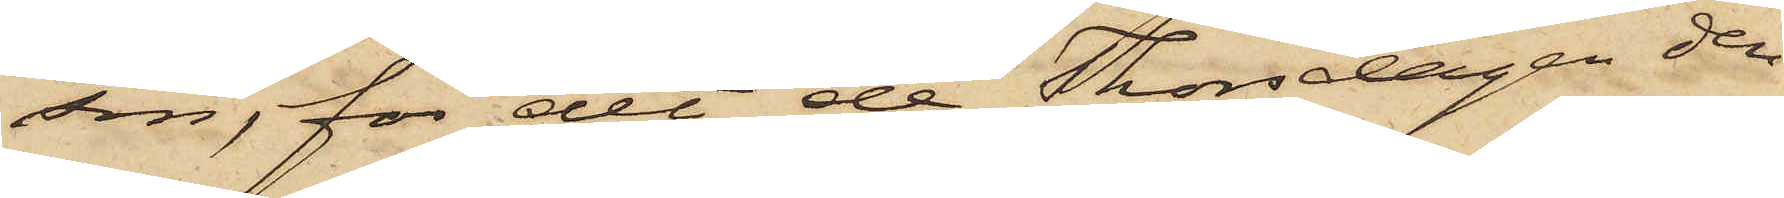son, för det de Thorsdagen den
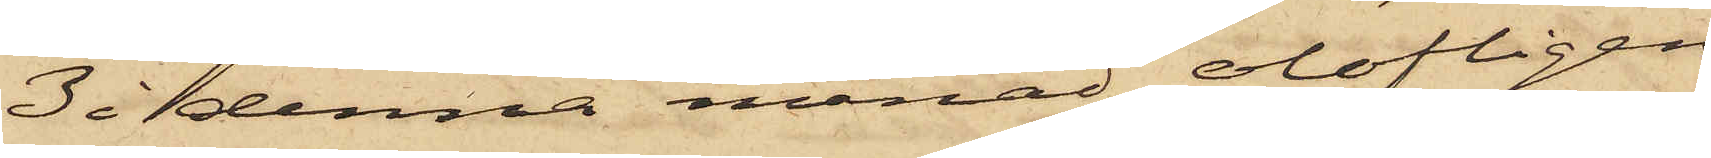3 i denna månad olofligen
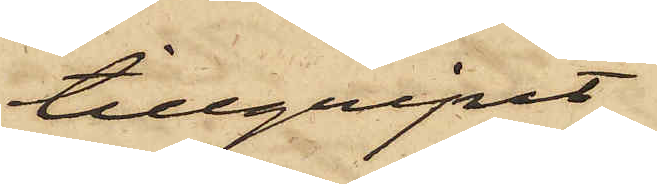tillgripit
